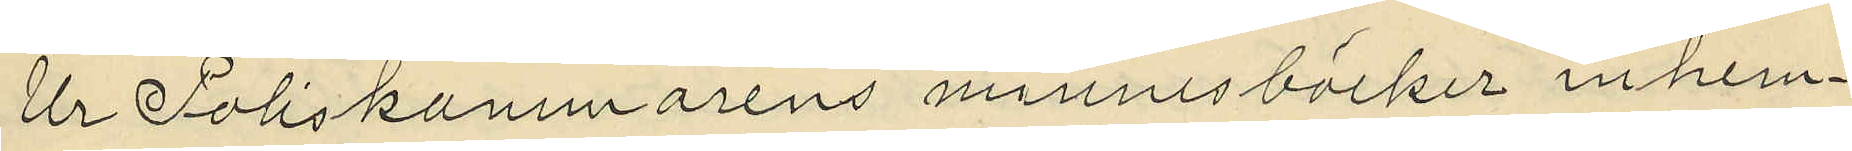Ur Poliskammarens minnesböcker inhem¬
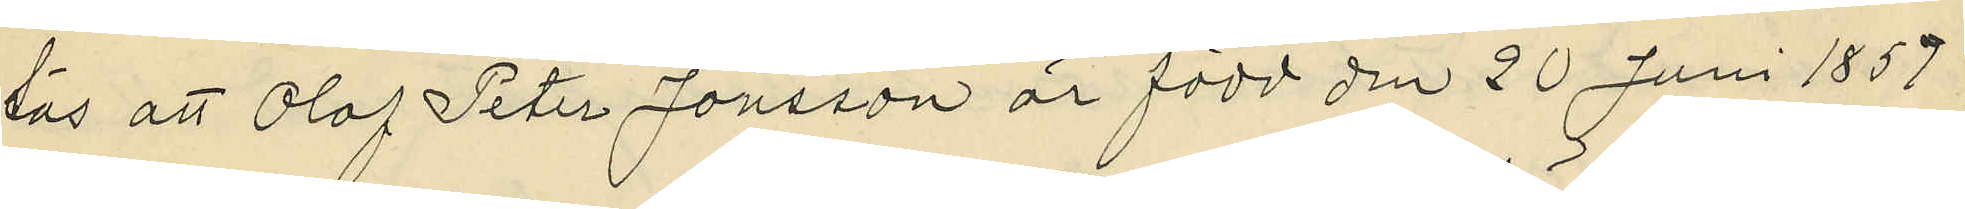sås att Olof Peter Jonsson är född den 20 Juni 1859
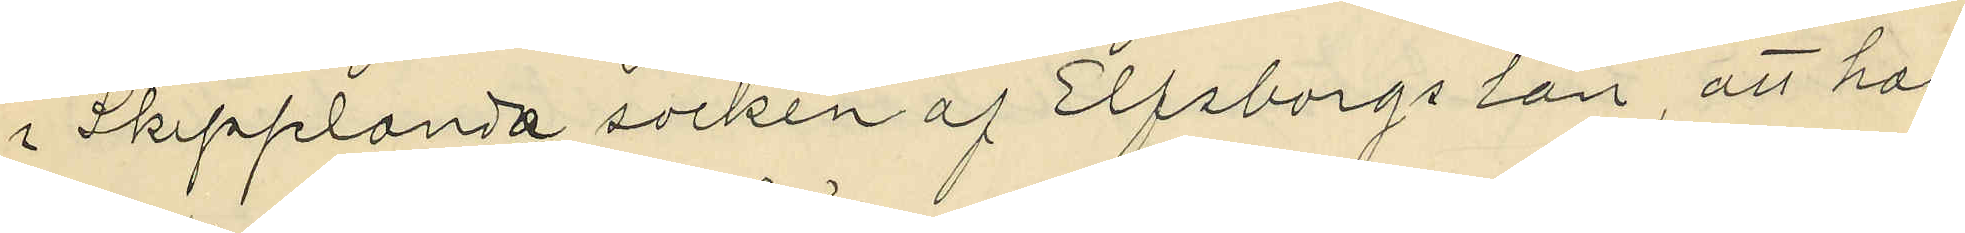i Skepplanda socken af Elfsborgs län, att han
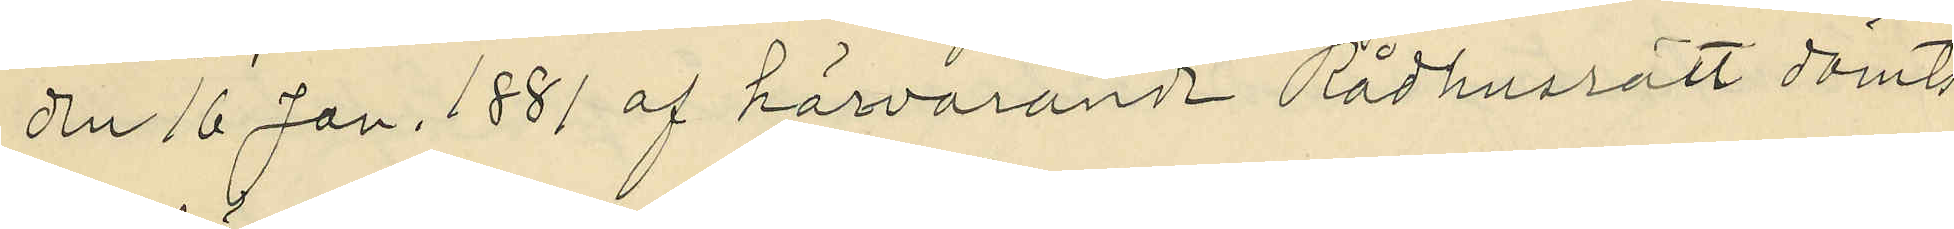den 16 Jan. 1881 af härvarande Rådhusrätt dömts
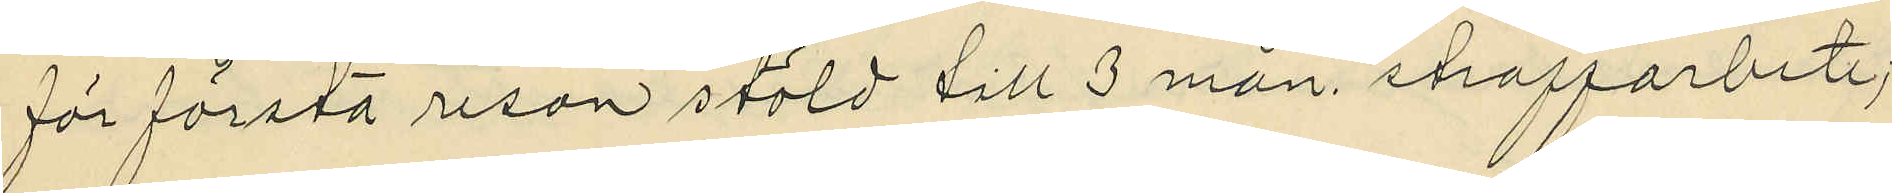för första resan stöld till 3 mån. straffarbete;
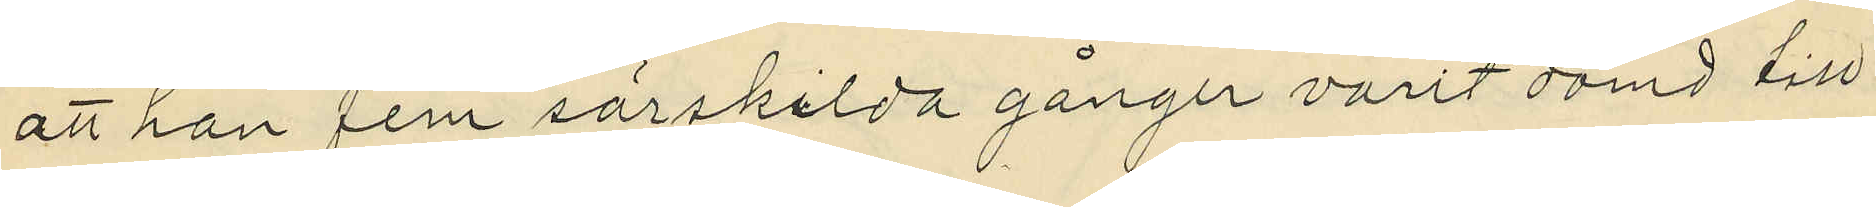att han fem särskilda gånger varit dömd till
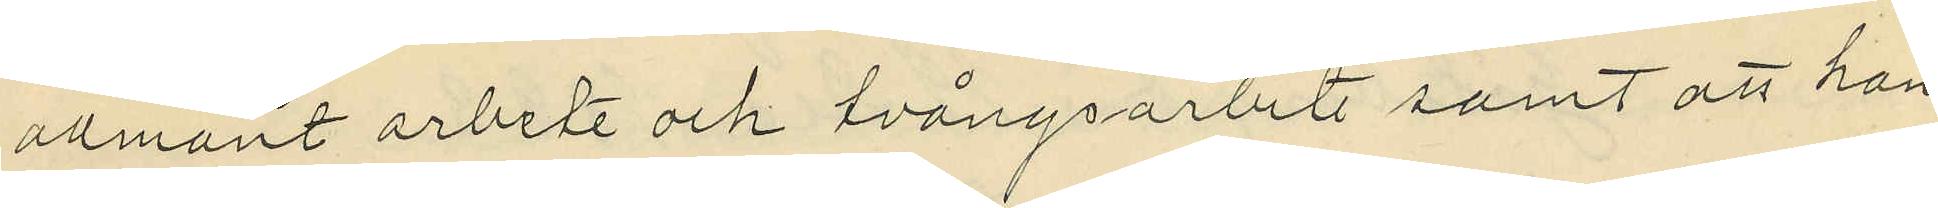allmänt arbete och tvångsarbete samt att han
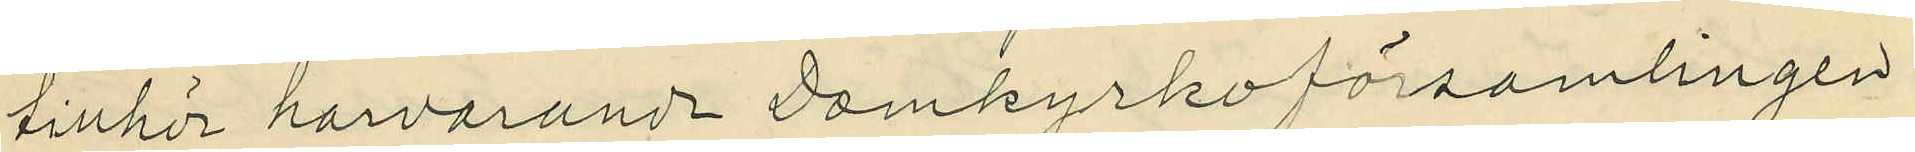tillhör harvarande Domkyrkoförsamlingen
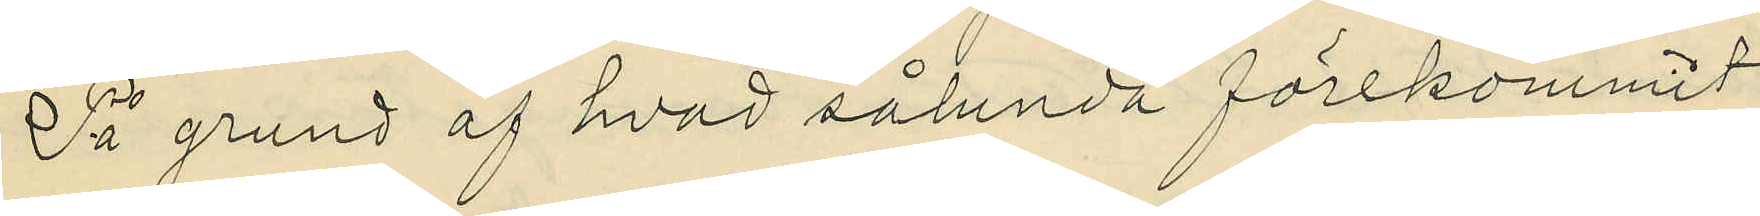På grund af hvad sålunda förekommit
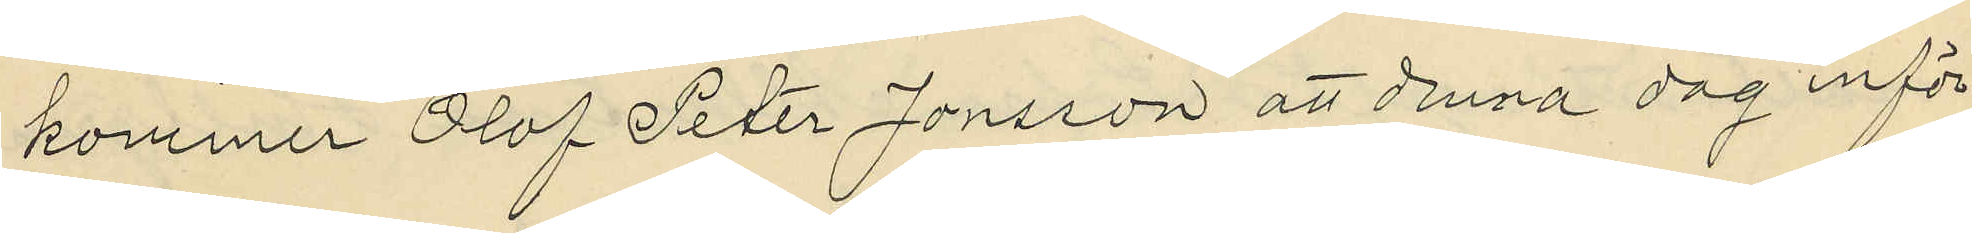kommer Olof Peter Jonsson att denna dag inför
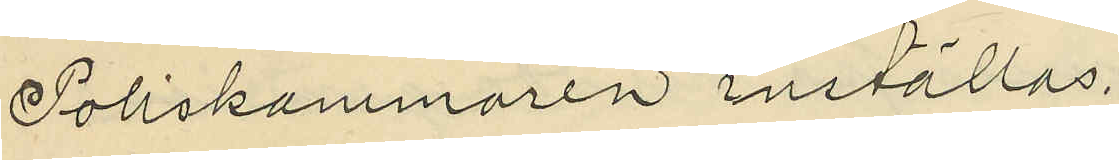Poliskammaren inställas.
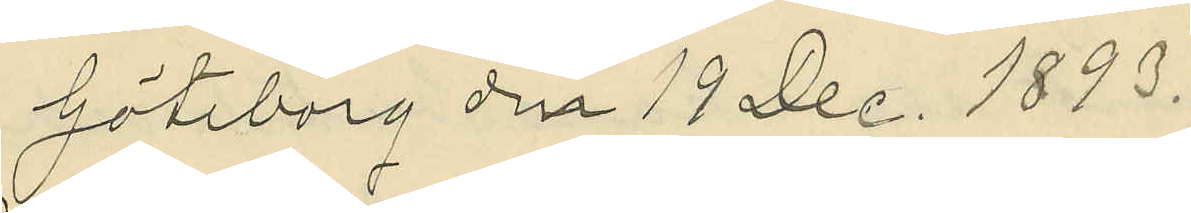Göteborg den 19 Dec. 1893.
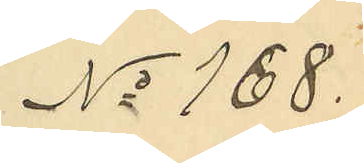No 168.
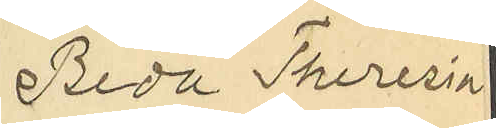Beda Theresia
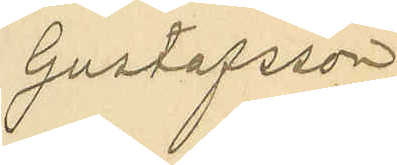Gustafsson
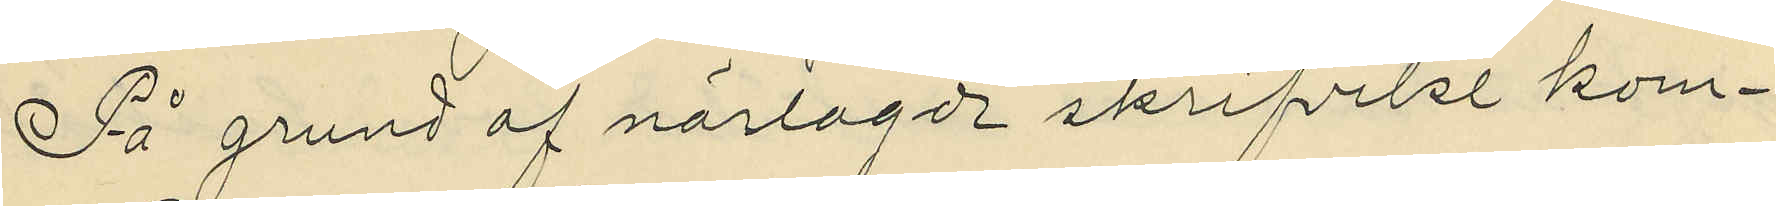På grund af närlagde skrifvelse kom¬
